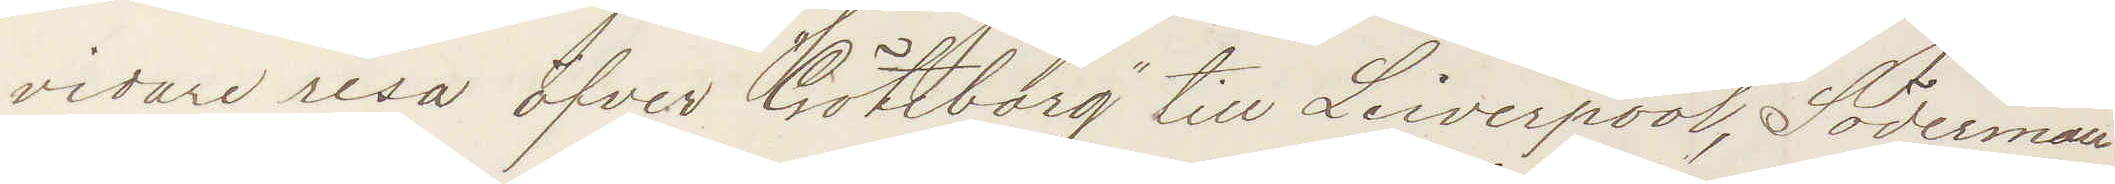vidare resa öfver "Göteborg" till Liverpool, Söderman
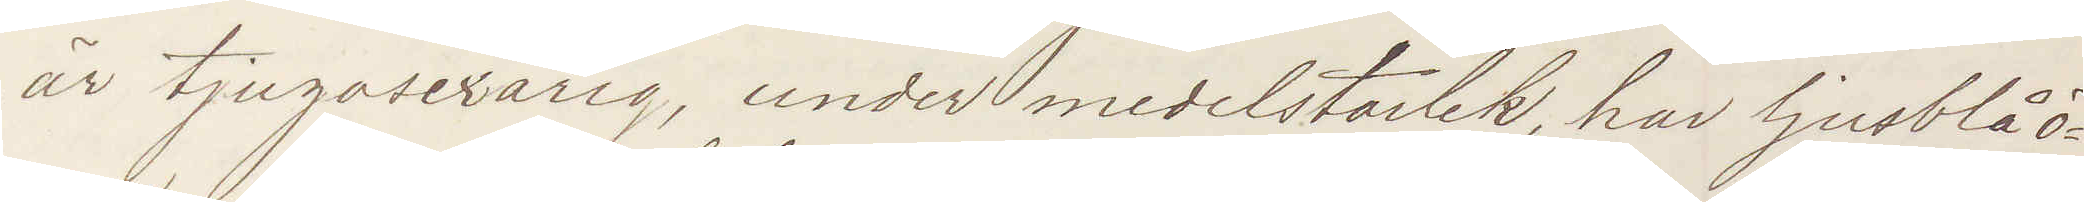är tjugosexårig, under medelstorlek, har ljusblå ö¬
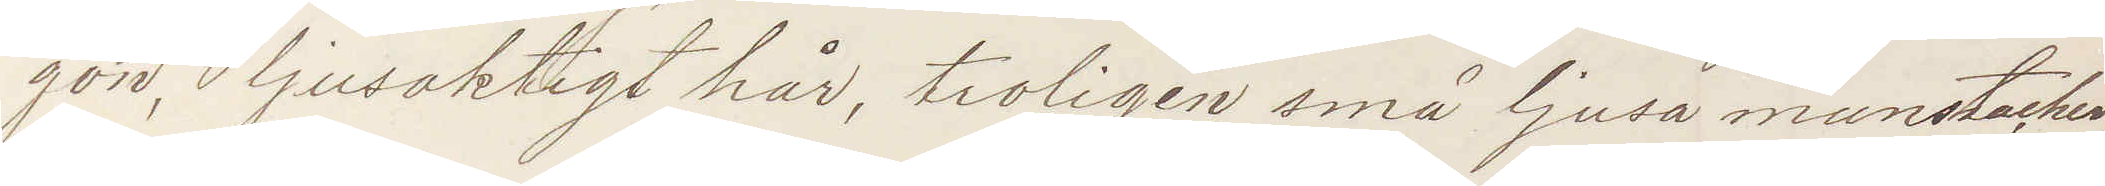gon, ljusaktigt hår, troligen små ljusa munstacher,
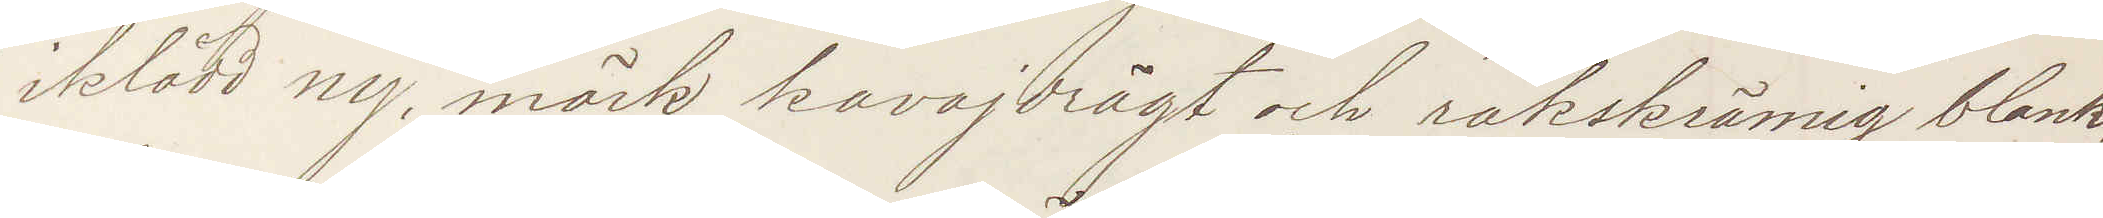iklädd ny, mörk kavajdrägt och rakskrämig blank¬
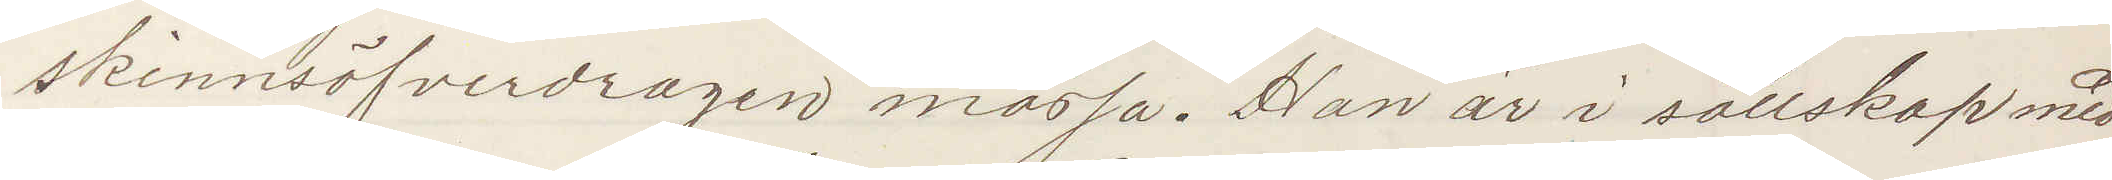skinnsöfverdragen mössa. Han är i sällskap med
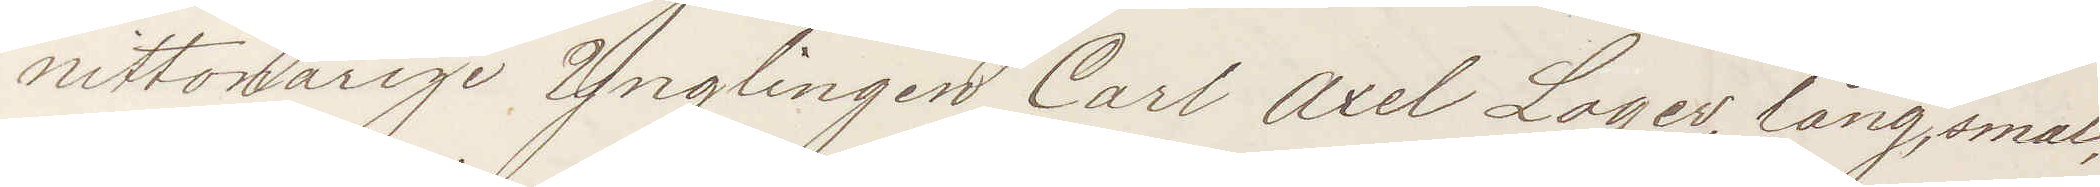nittonårige Ynglingen Carl Axel Lager, lång, smal,
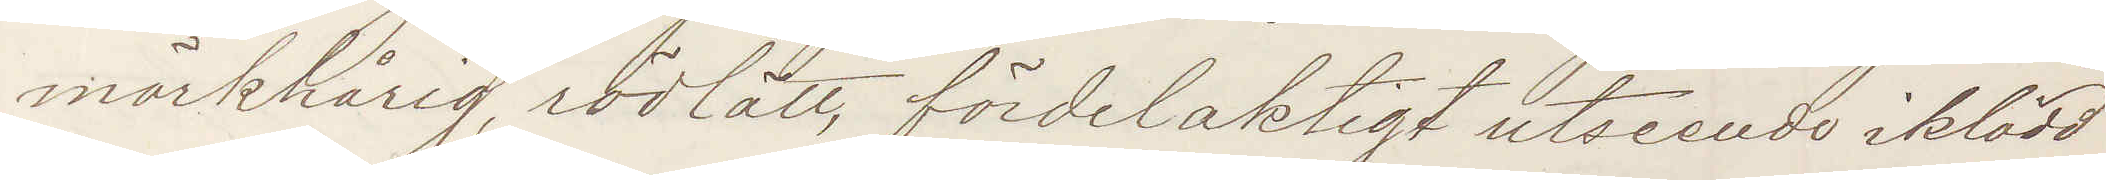mörkhårig, rödlätt, fördelaktigt utseende iklädd
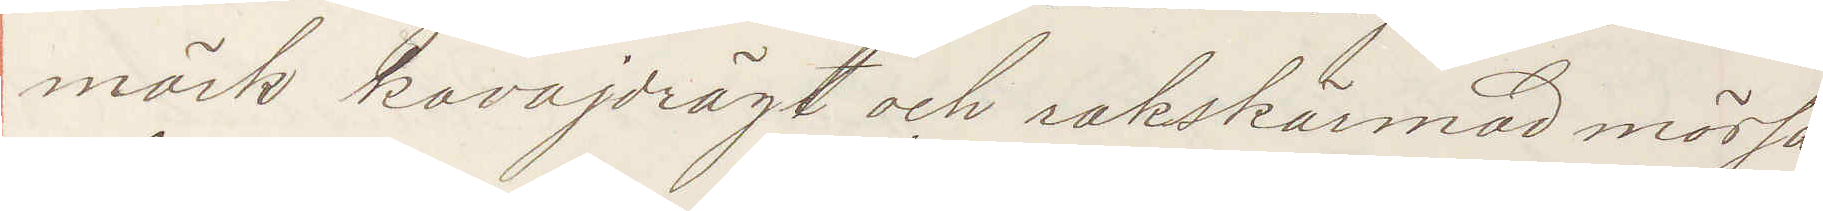mörk kavajdrägt och rakskärmad mössa.
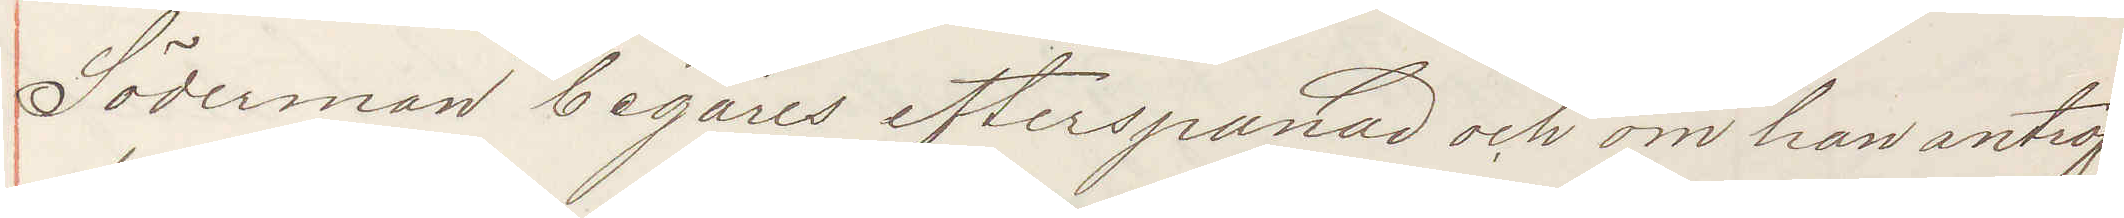Söderman begäres efterspanad och om han anträf¬
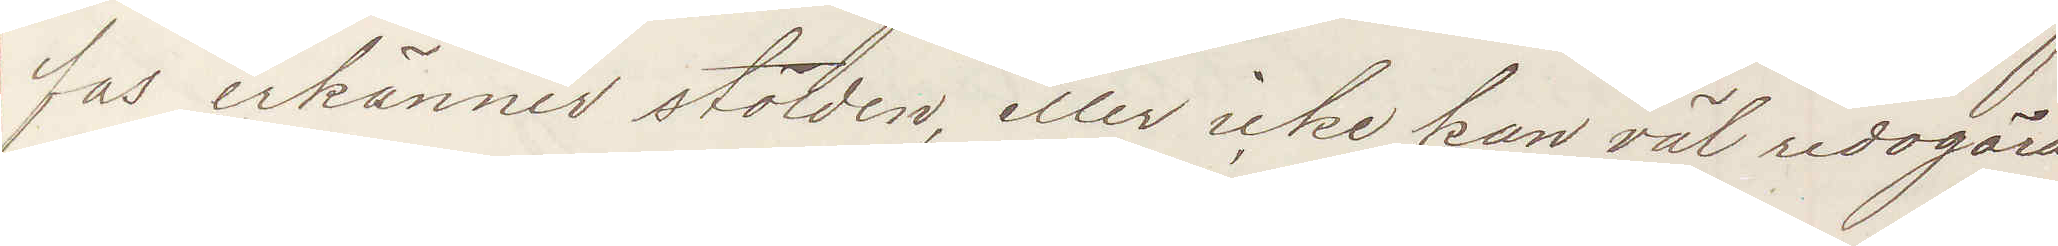fas erkänner stölden, eller icke kan väl redogöra
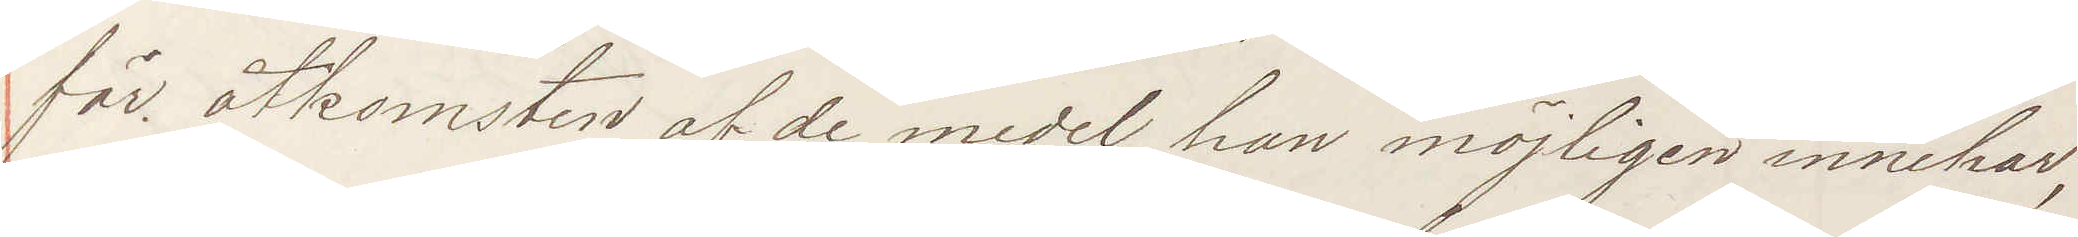för åtkomsten af de medel han möjligen innehar,
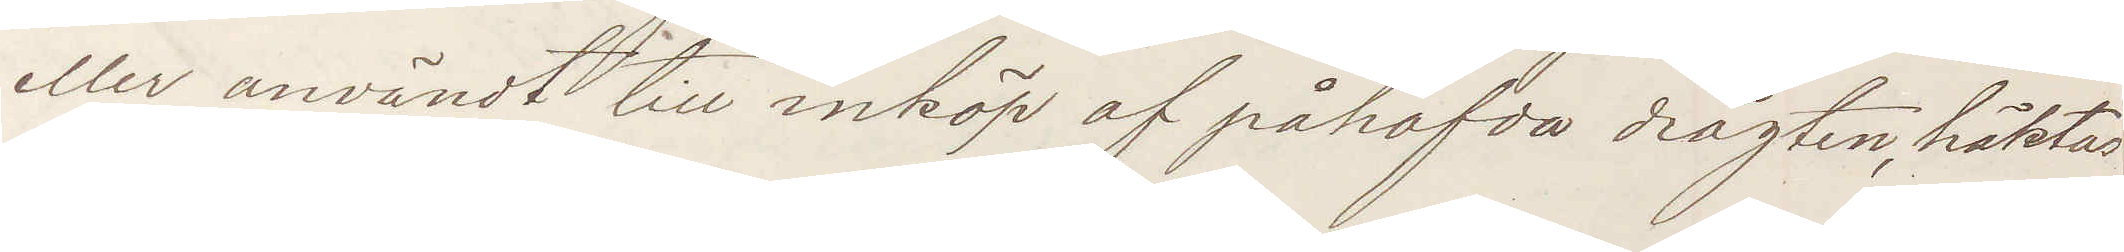eller användt till inköp af påhafda drägten, häktas
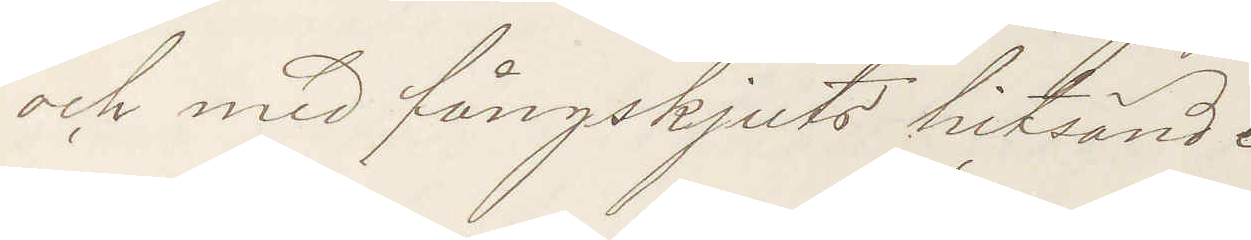och med fångskjuts hitsänd.
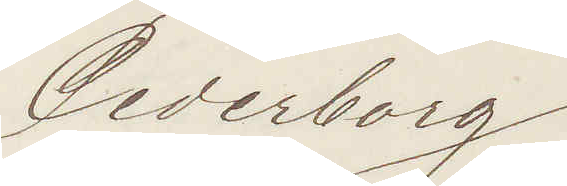Cederborg
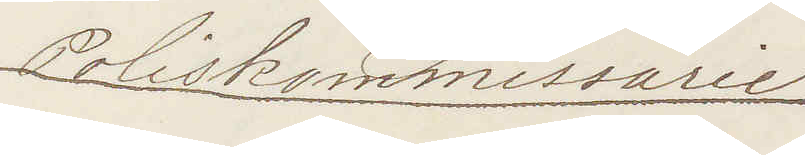Poliskommissarie
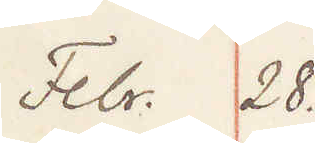Febr. 28
